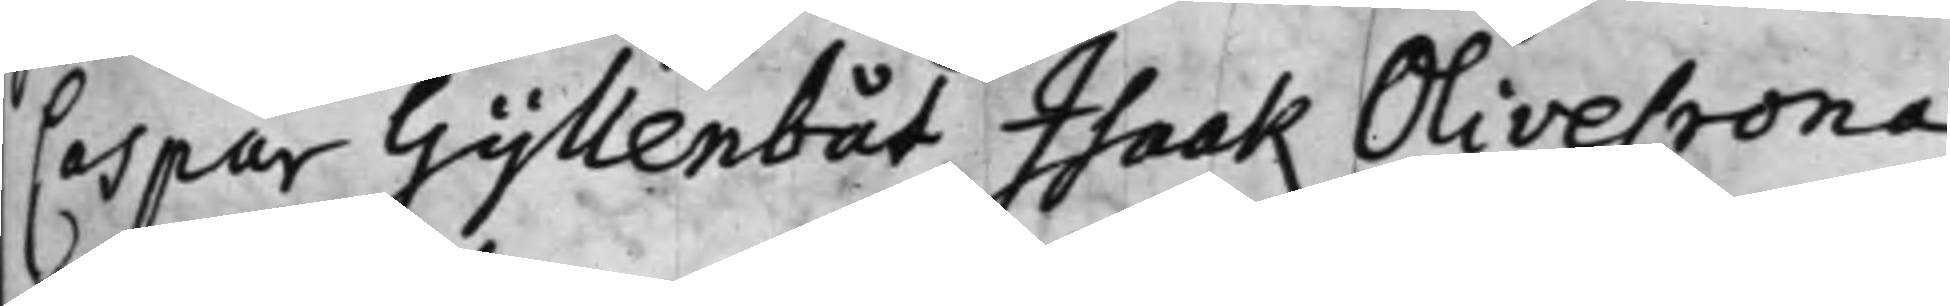Caspar Gyllenbåt, Isaak Olivecrona,
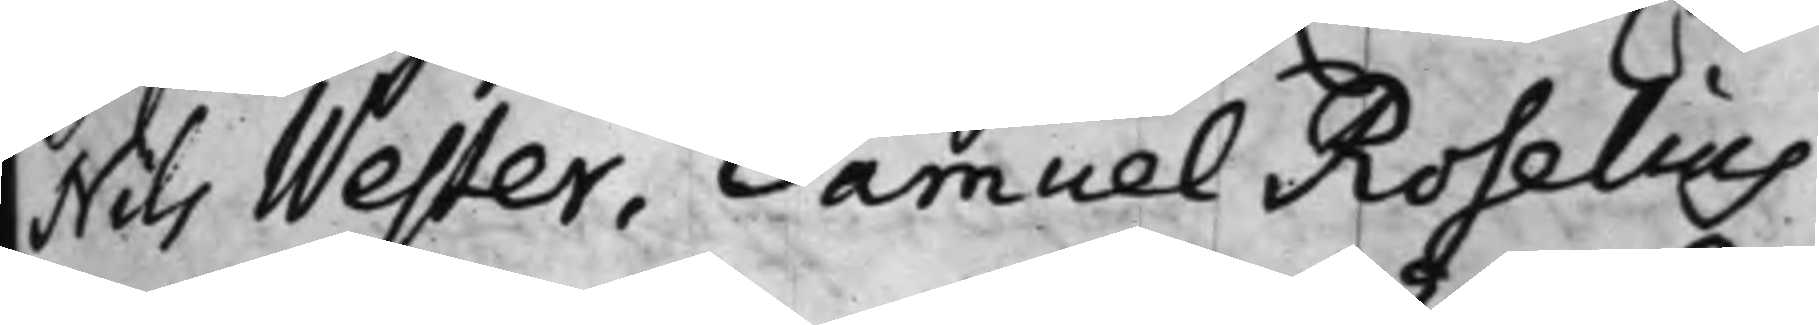Nils Wester, Samuel Roselius,
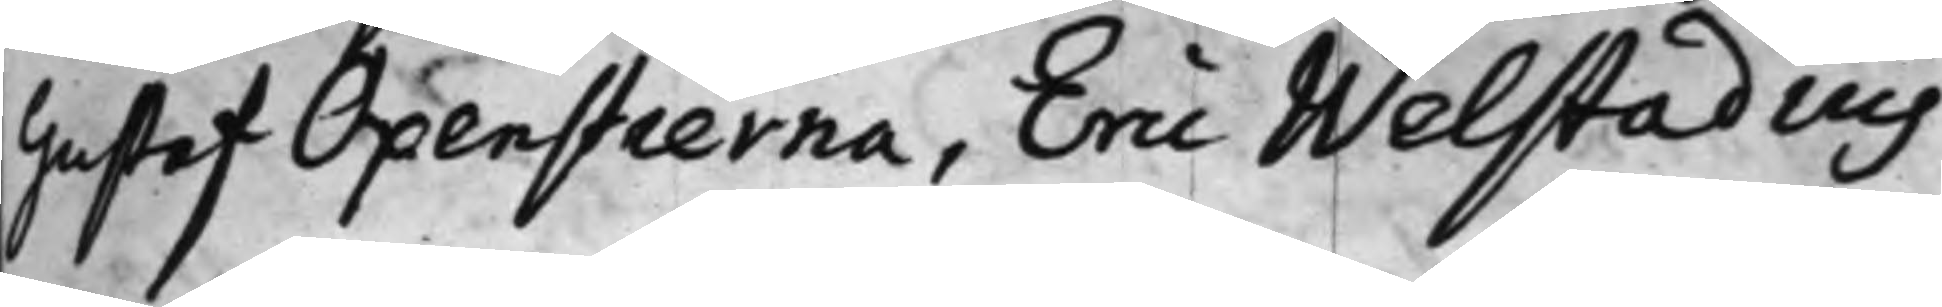Gustaf Oxenstierna, Eric Welstadius.
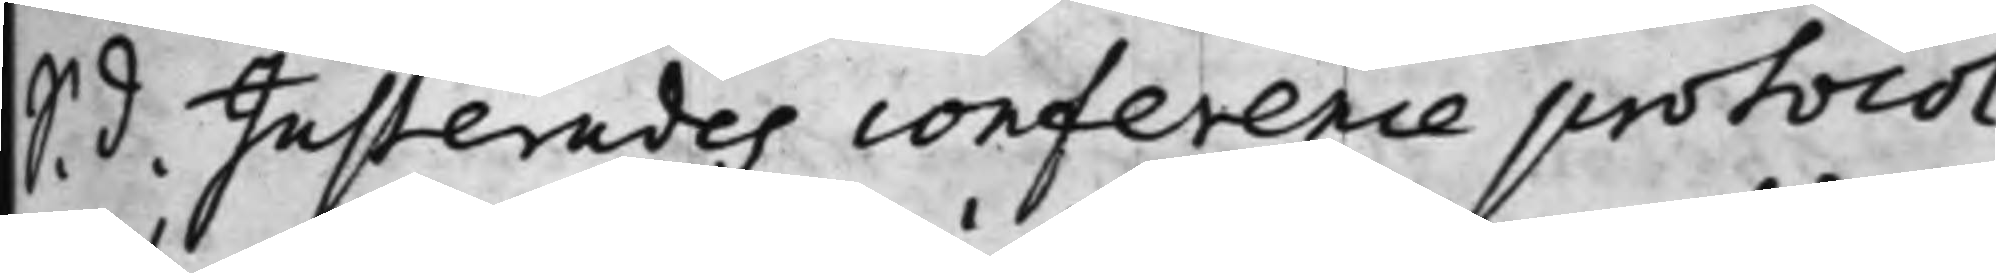S. d. Justerades conference protocol¬
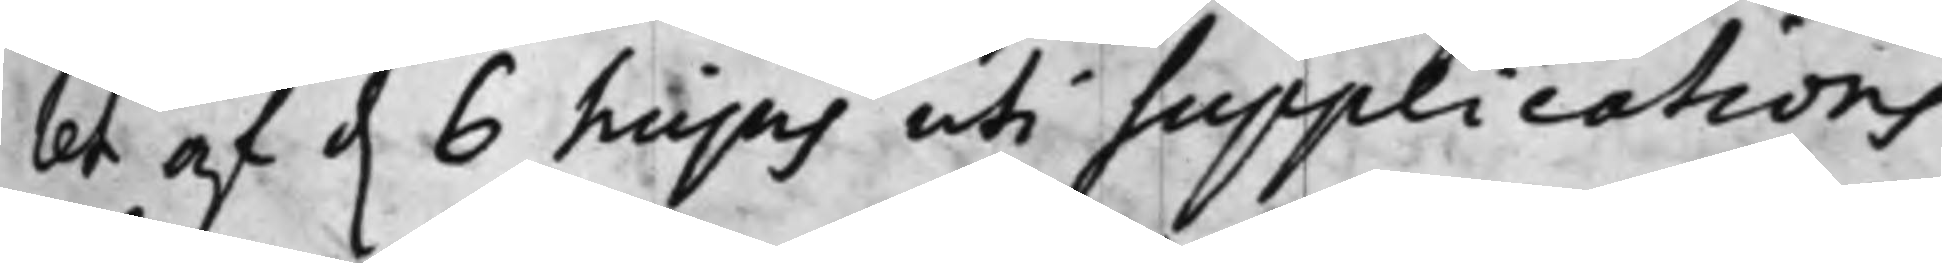let af d. 6 hujus uti supplications
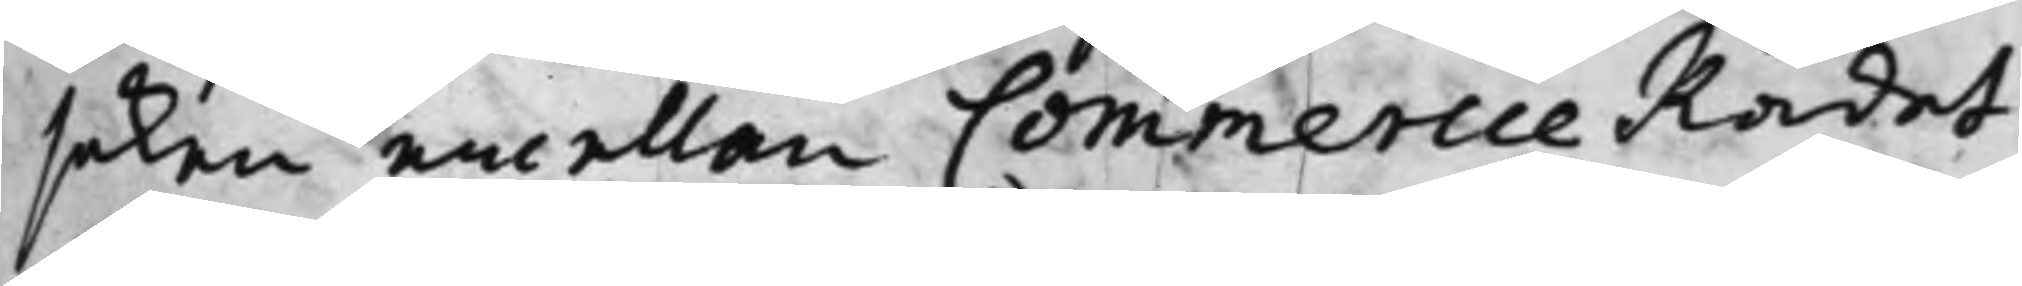saken emellan CommercieRådet
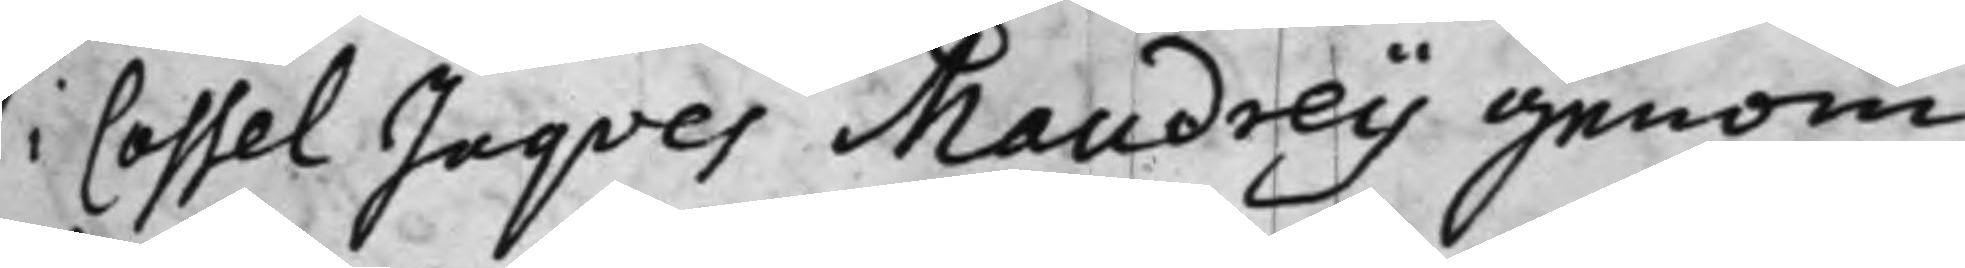i Cassel Jaqves Maudrey genom
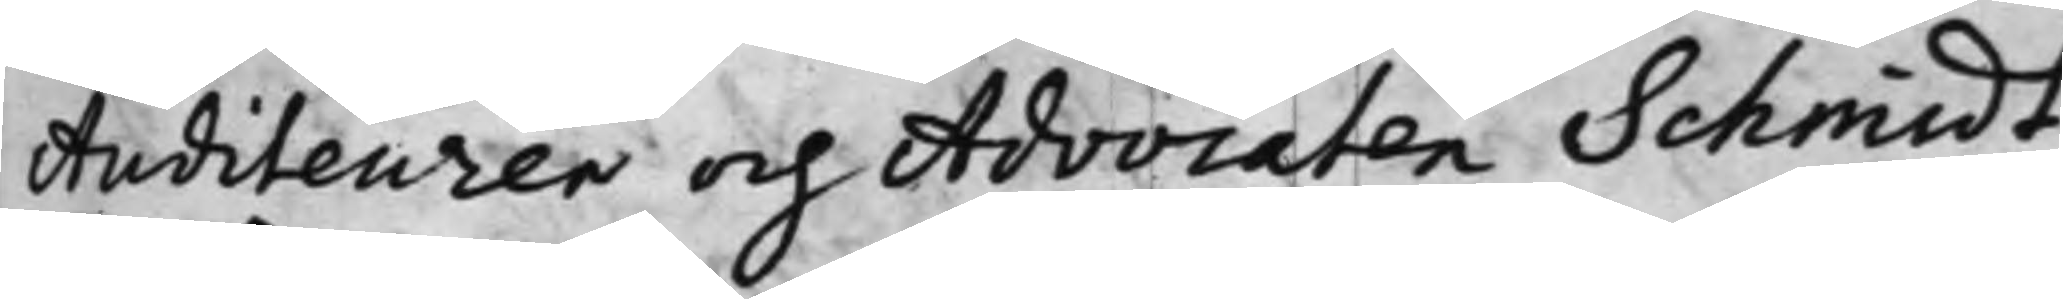Auditeuren och Advocaten Schmidt
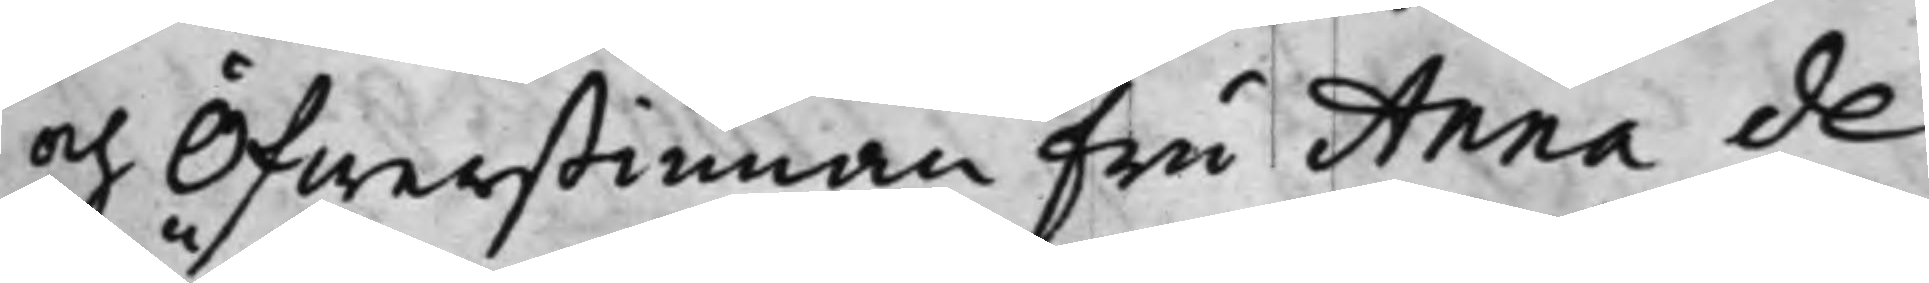och Öfwerstinnan fru Anna de
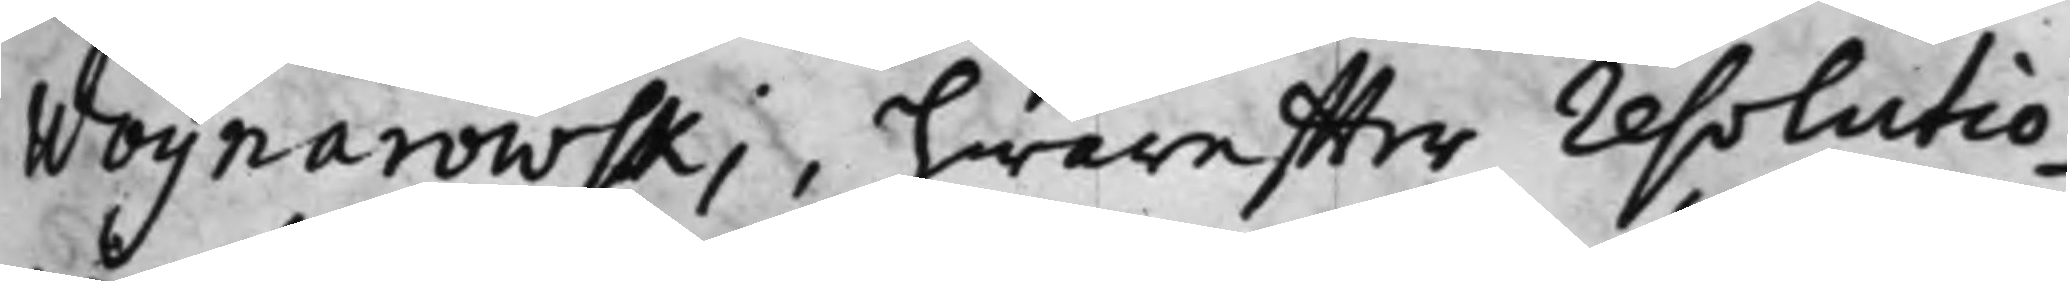Woynarowski, hwareffter resolutio¬
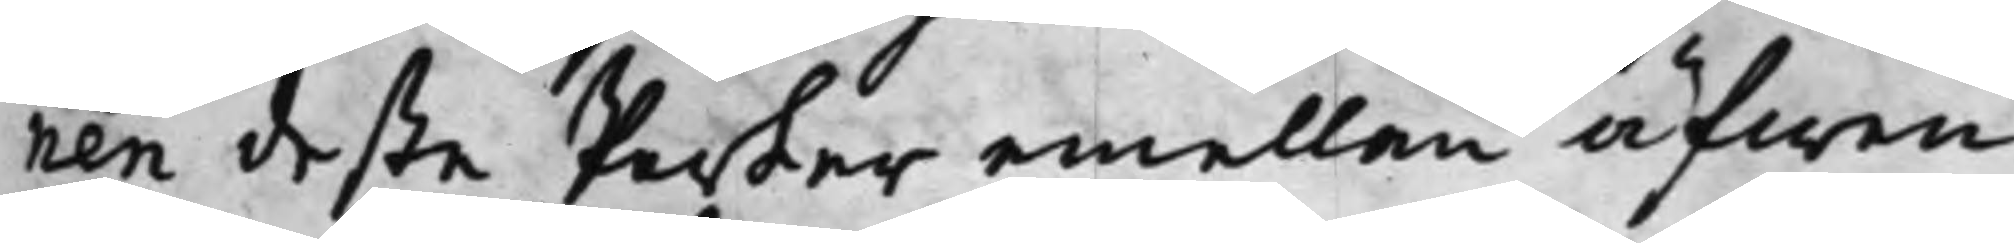nen deßa Parter emellan äfwen
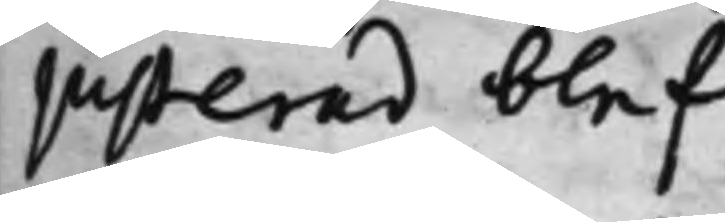justerad blef.
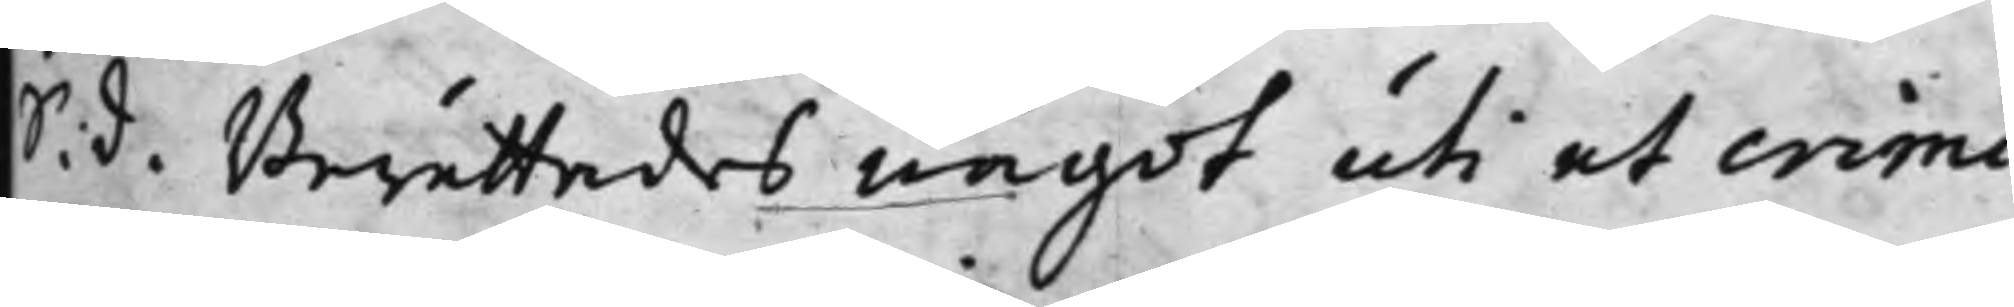S. d. Berättades något uti et crimi¬
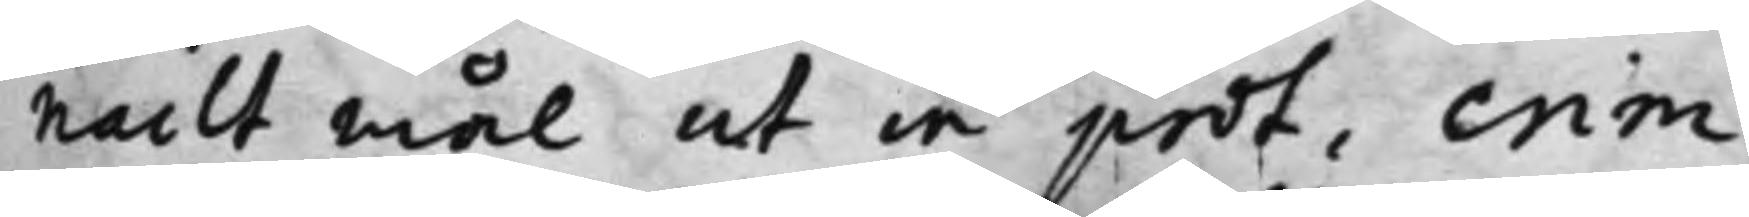nailt mål ut in prot. crim.
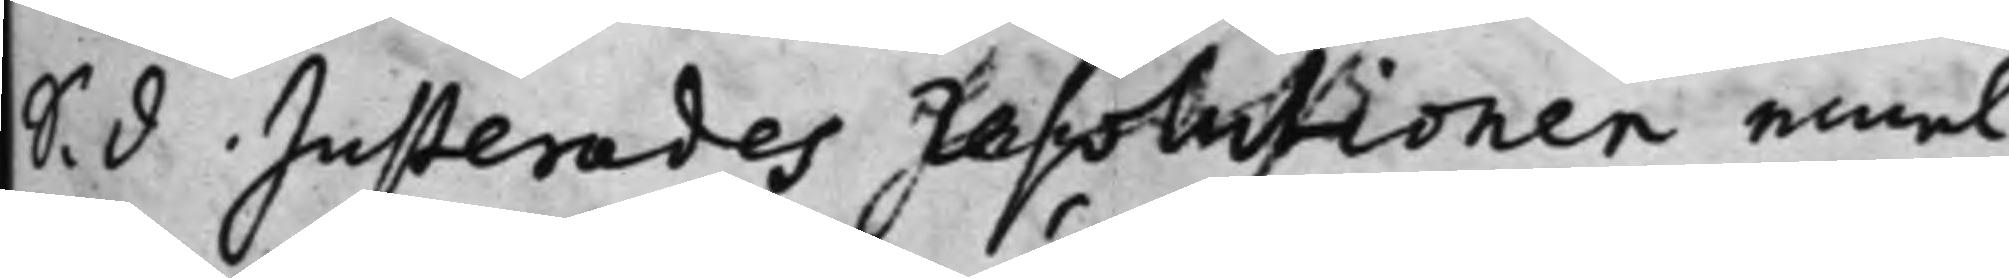S. d Justerades resolutionen emel¬
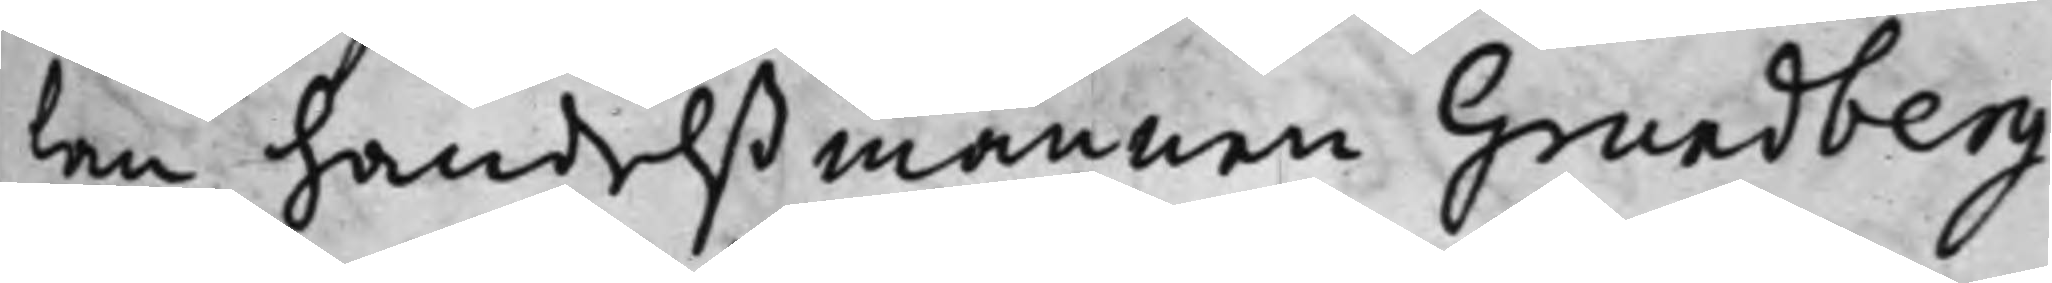lan handelßmännen Grundberg
